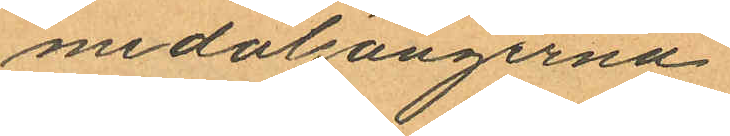medaljongerna.
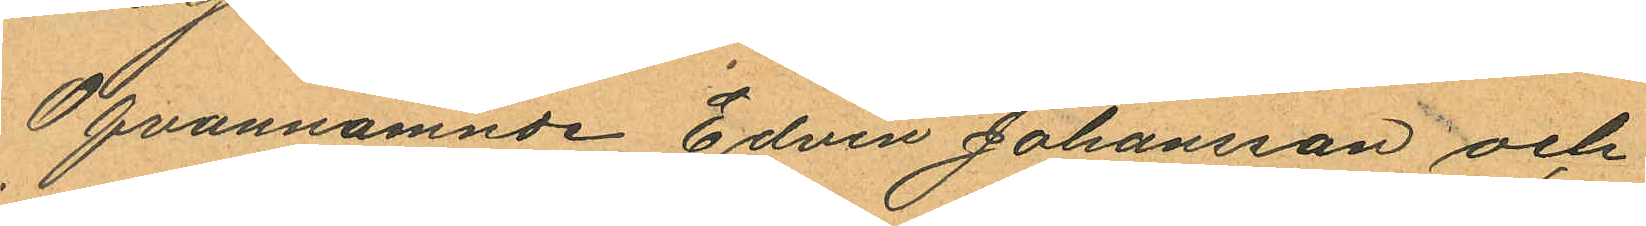Ofvannämnde Edvin Johansson och
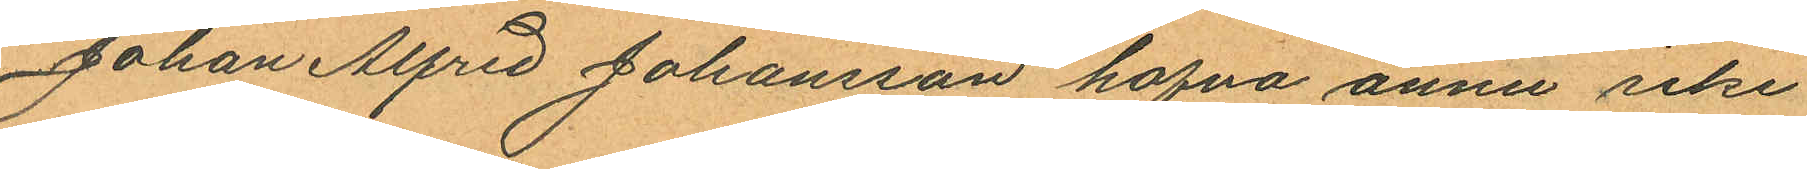Johan Alfred Johansson hafva ännu icke
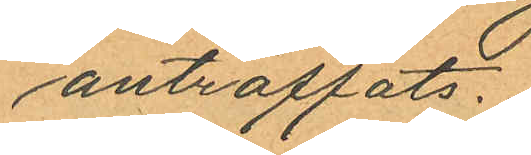anträffats.
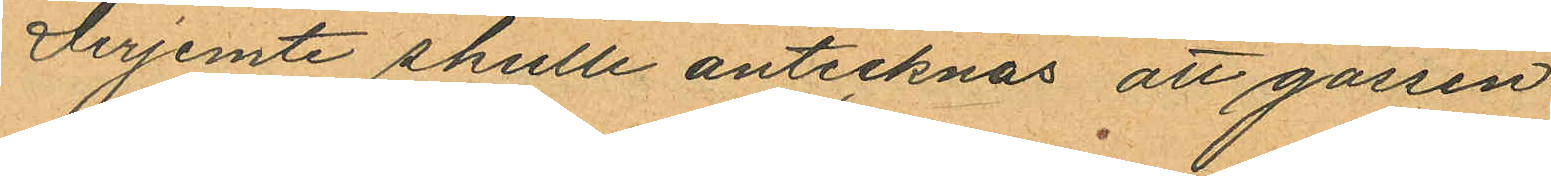Derjemte skulle antecknas att gossen
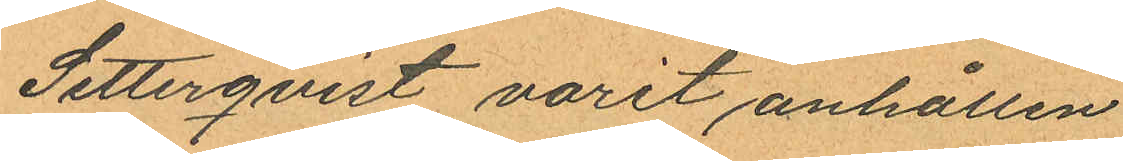Setterqvist varit anhållen
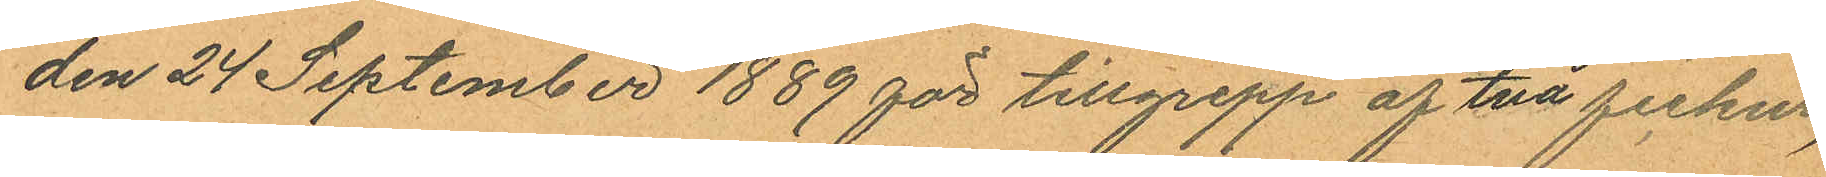den 24 September 1889 för tillgrepp af två fickur,
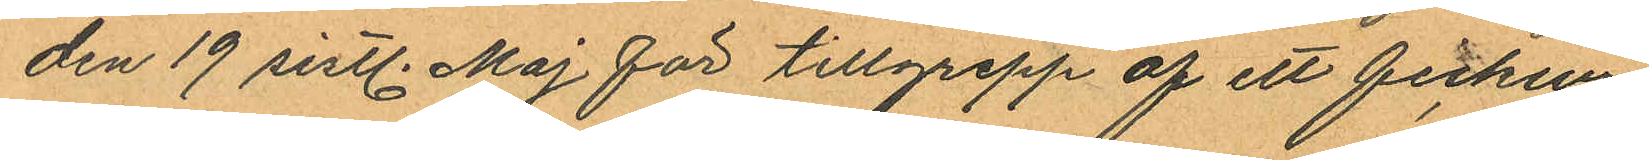den 19 sistl. Maj för tillgrepp af ett fickur,
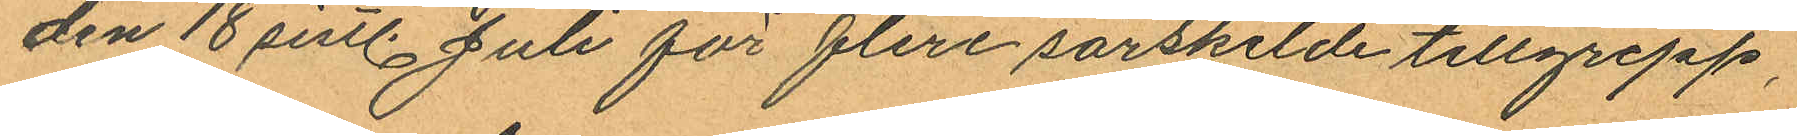den 18 sistl. Juli för flera särskilde tillgrepp,
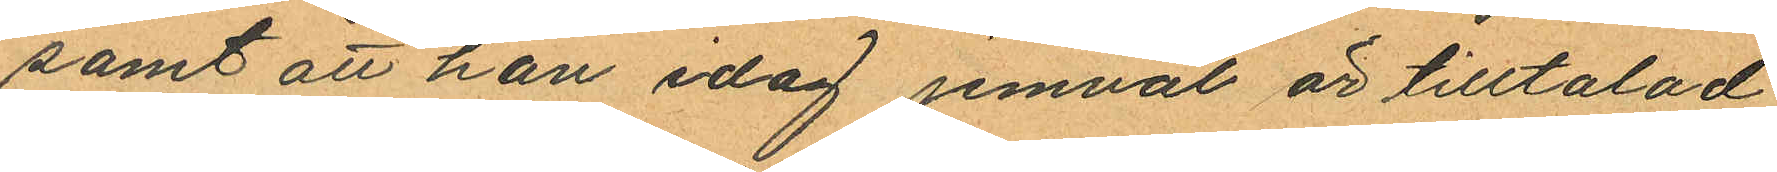samt att han idag jemväl är tilltalad
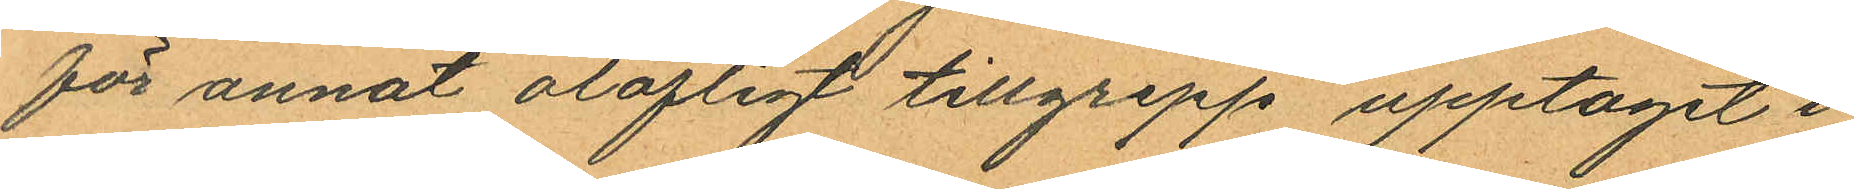för annat olofligt tillgrepp upptaget i
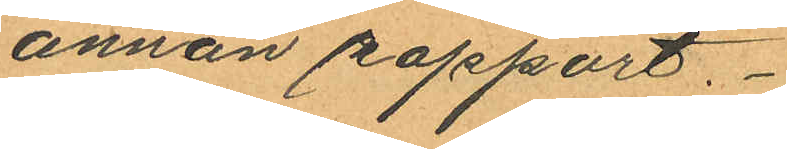annan rapport.
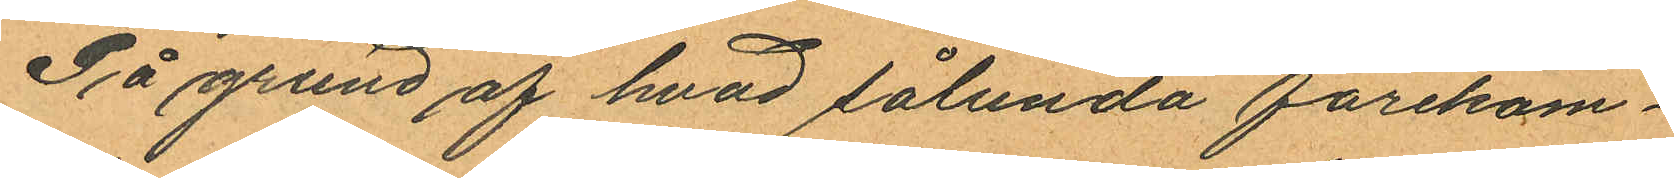På grund af hvad sålunda förekom¬
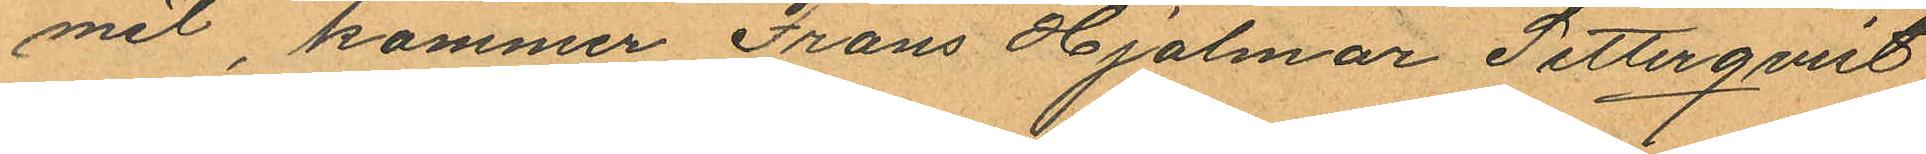mit, kommer Frans Hjalmar Setterqvist
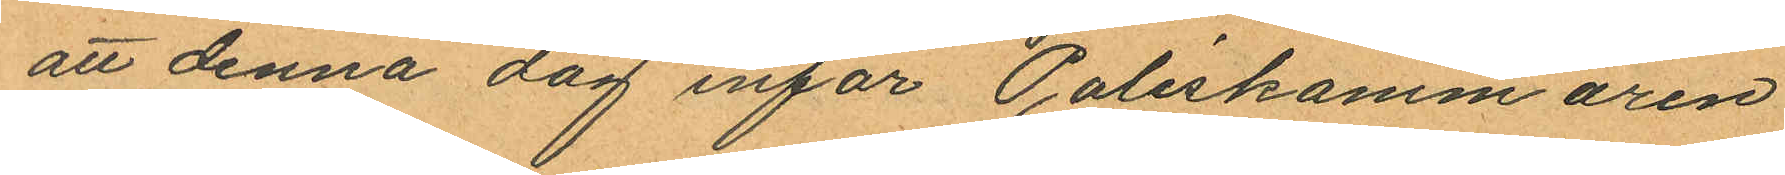att denna dag inför Poliskammaren
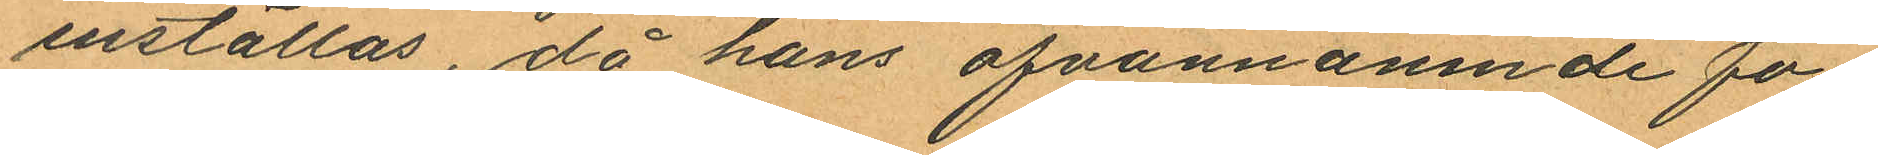inställas, då hans ofvannämnde fa¬
